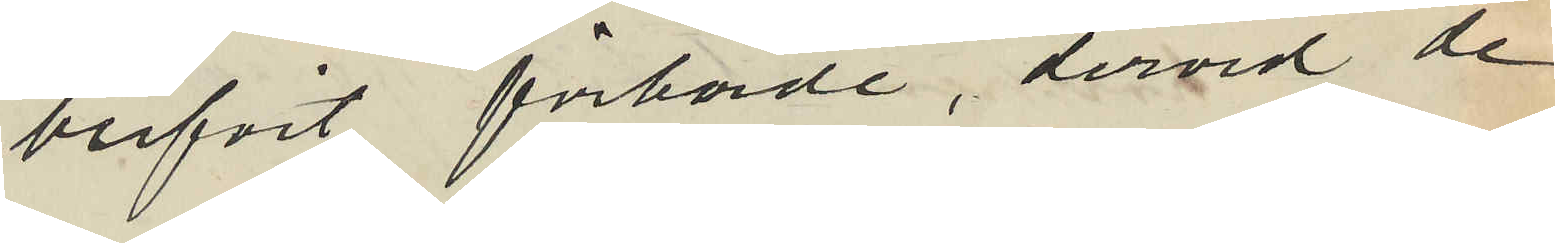blifvit förhörde, dervid de
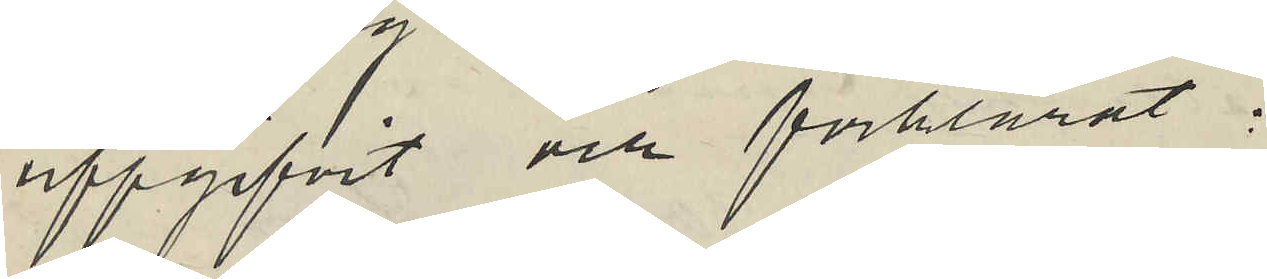uppgifvit och förklarat:
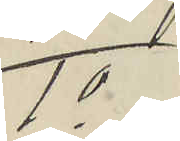1o
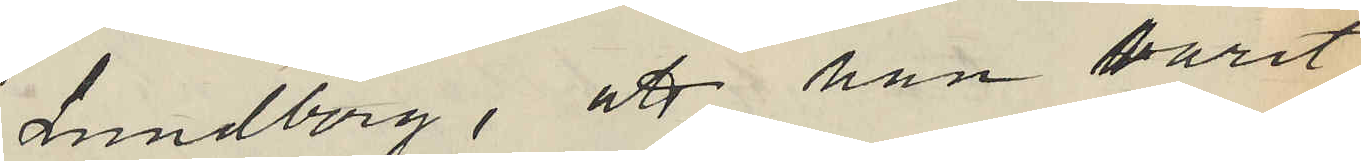Lundberg, att han varit
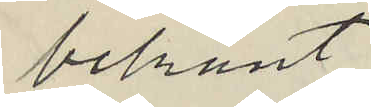bekant
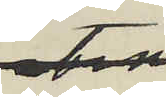med
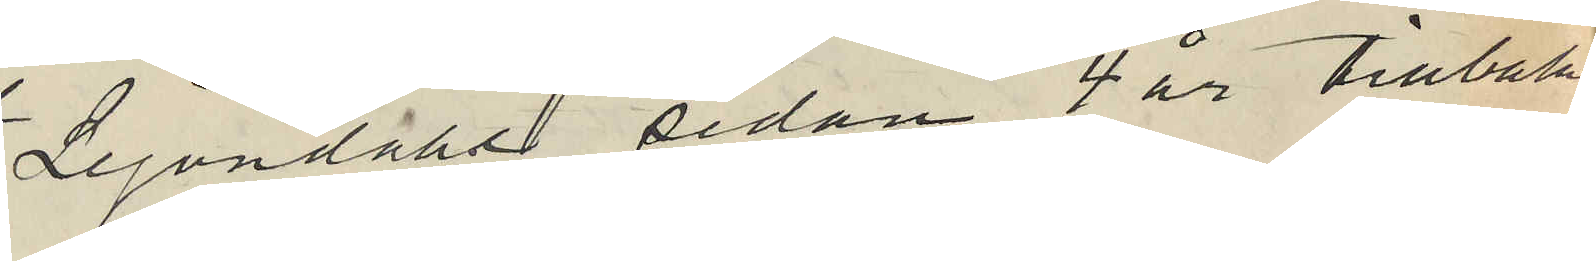Lejondahl sedan 4 år tillbaka
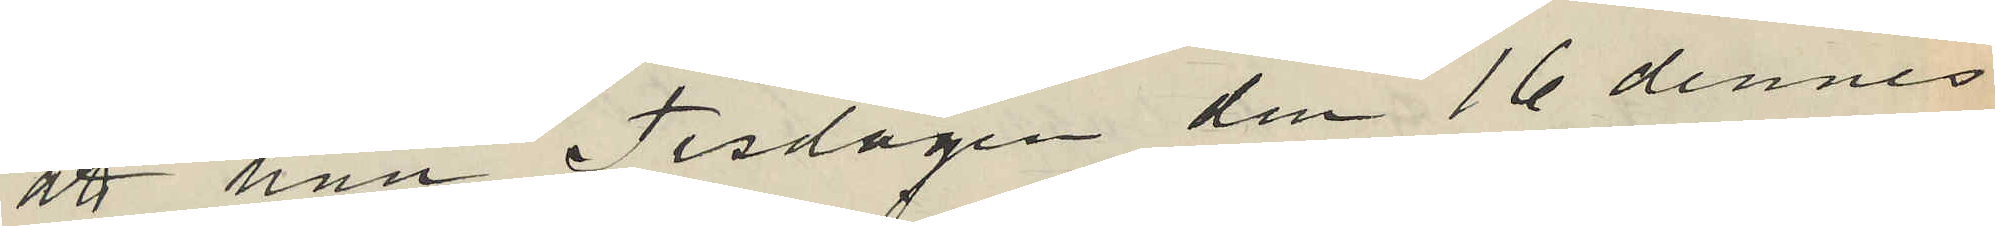att han Tisdagen den 16 dennes
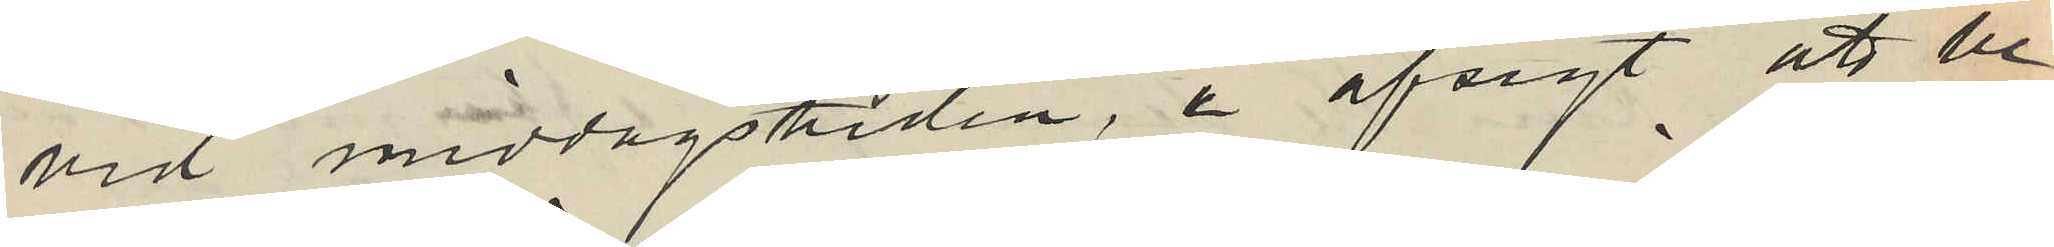vid middagstiden, i afsigt att be¬
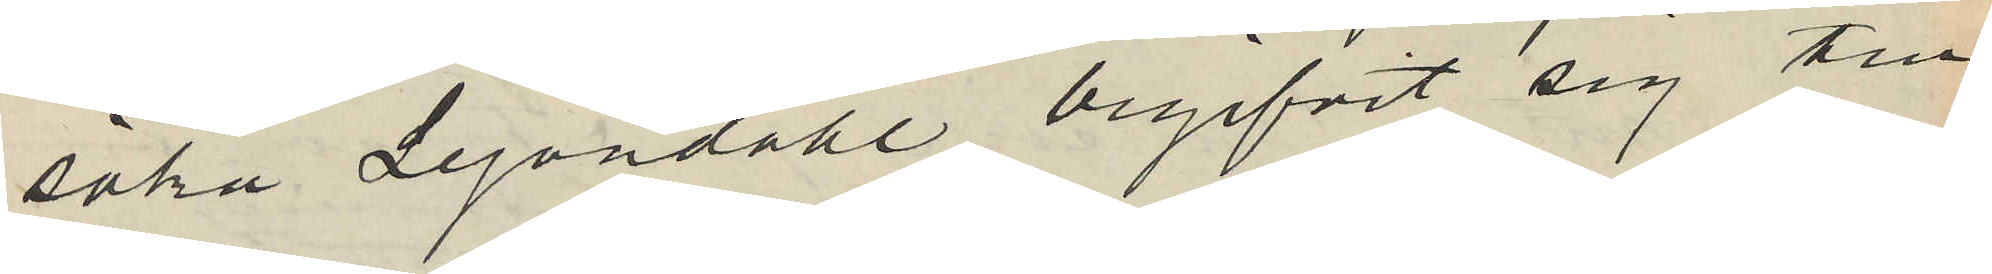söka Lejondahl begifvit sig till
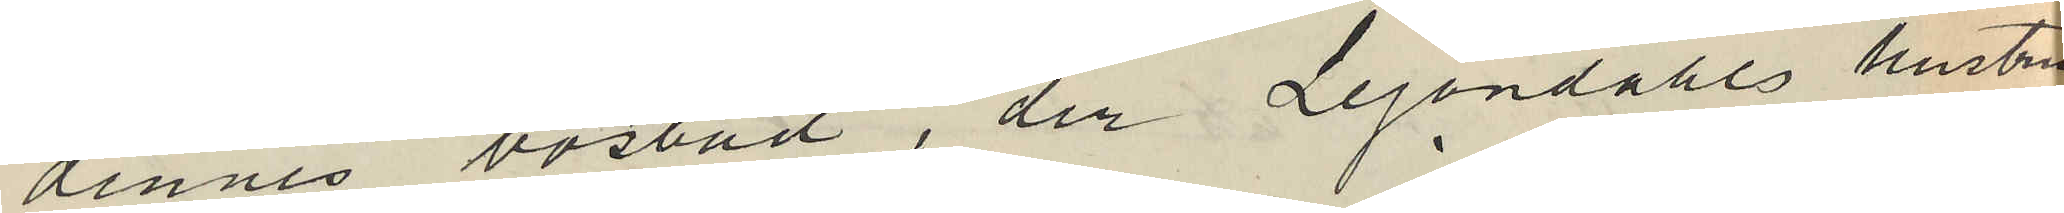dennes bostad, der Lejondahls hustru
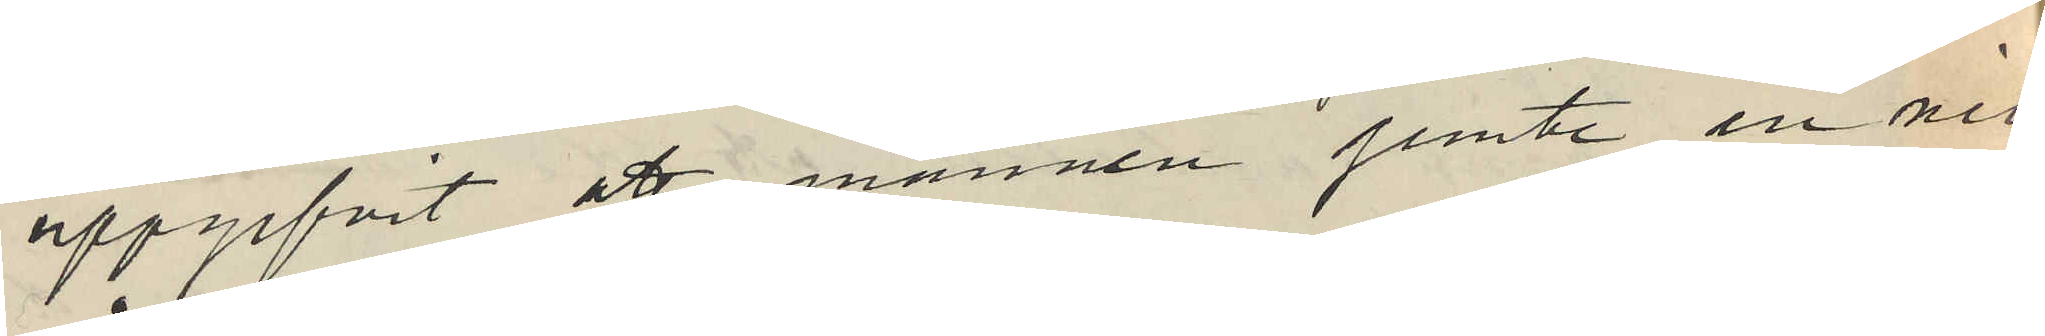uppgifvit att mannen jemte en nio
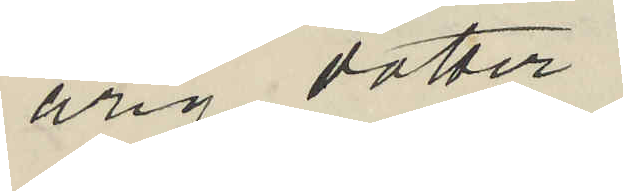årig dotter
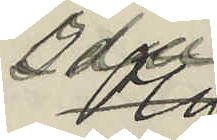Olga
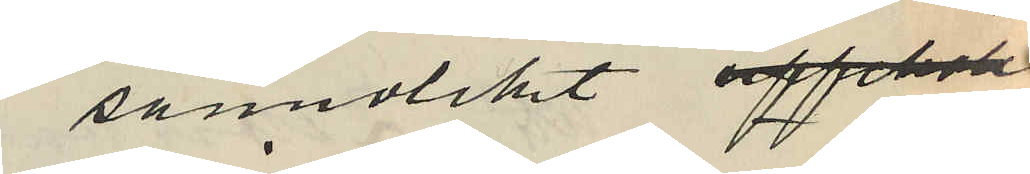sannolikt uppehöll.
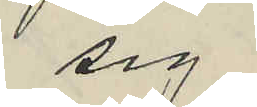sig
